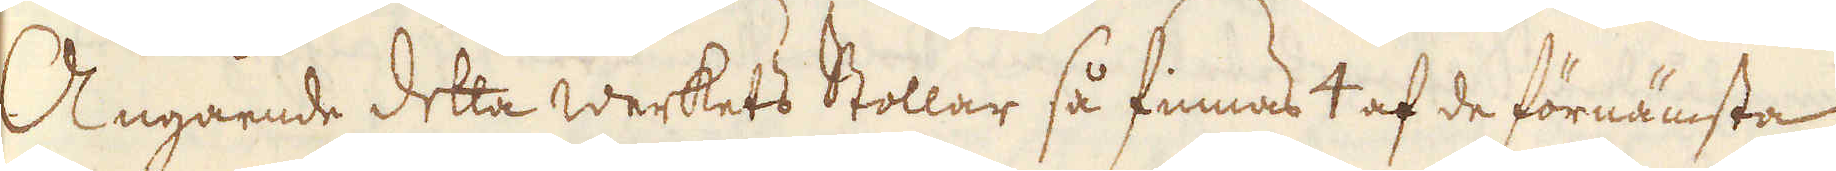Angående detta werkets Stollar så finnas 4 af de förnämsta
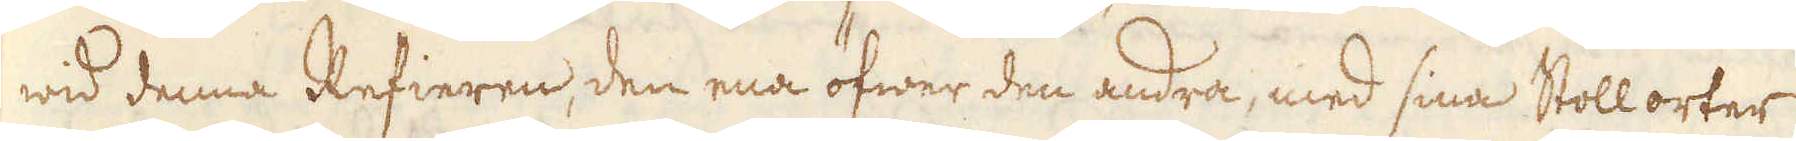wid denna Refieren, den ena öfwer den andra, med sina Stollorter
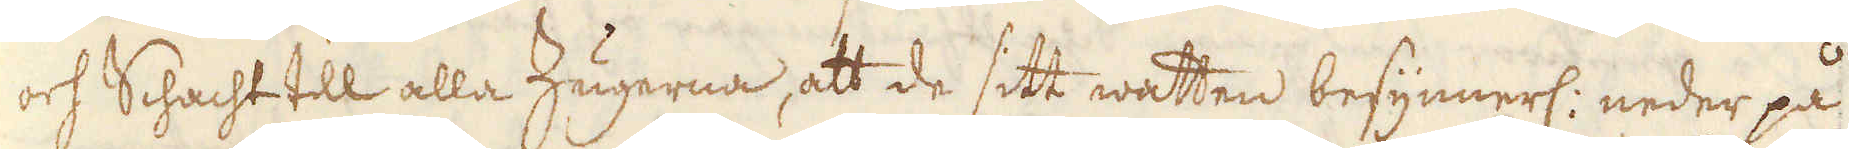och Schacht till alla Zugerna, att de sitt watten besynnerl: neder på
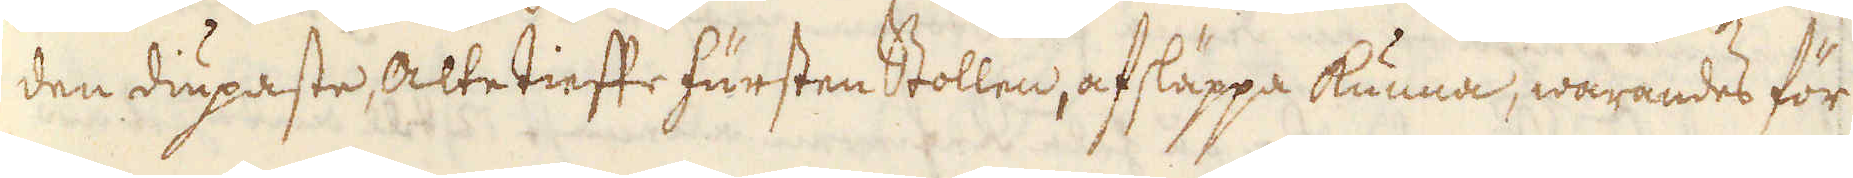den dupaste, altetieste fürsten Stollen, af släppa kunna, warandes för
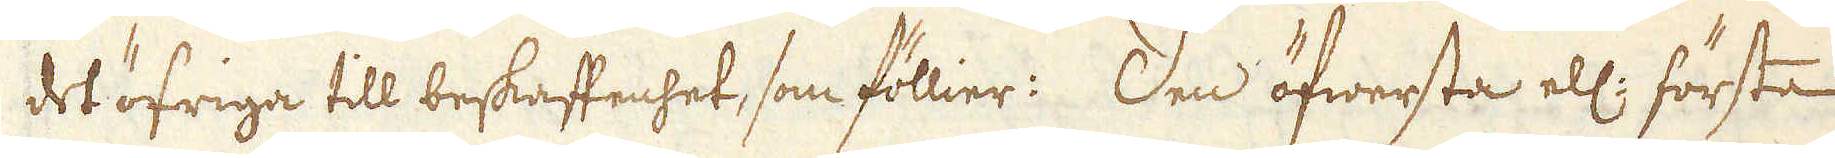det öfriga till beskaffenhet, som föllier: Den öfwersta ell: första
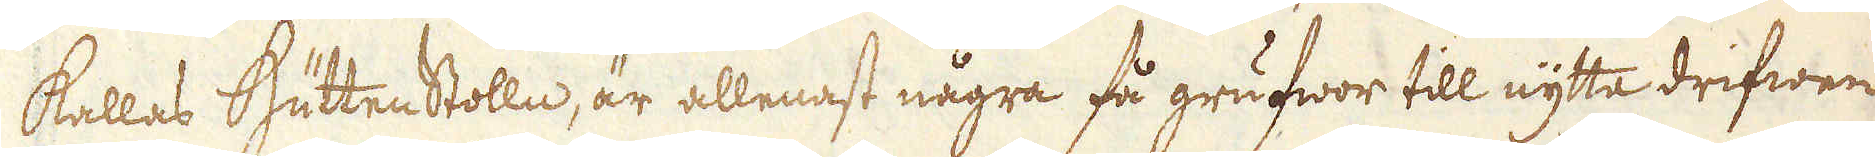kallas Hüttenstolln, är allenast några få grufwor till nytta drifwen
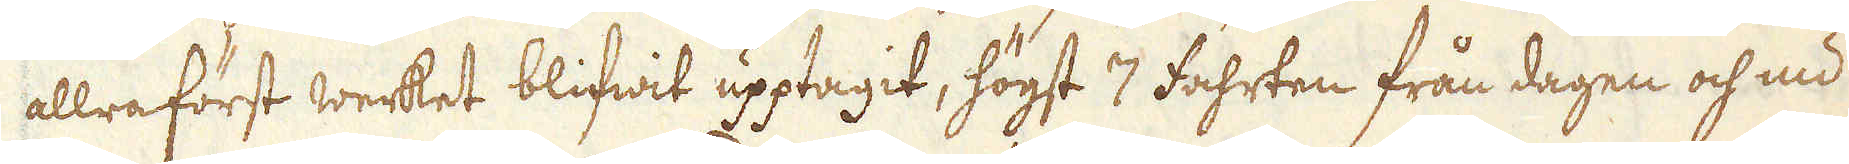allraförst werket blifwit upptagit, högst 7 fahrten från dagen och nu
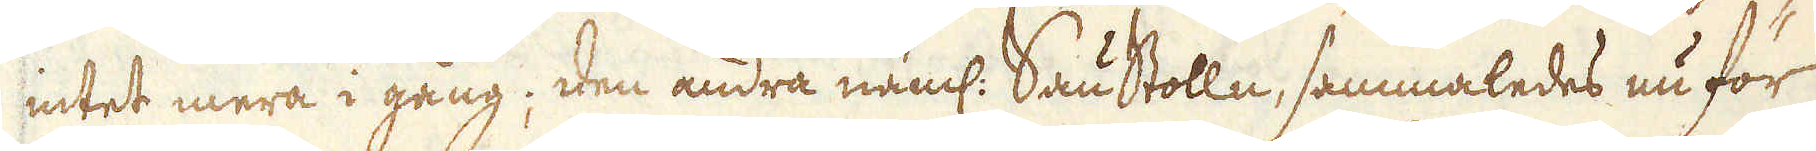intet mera i gång; den andra näml. Sau Stolln, sammaledes nu för
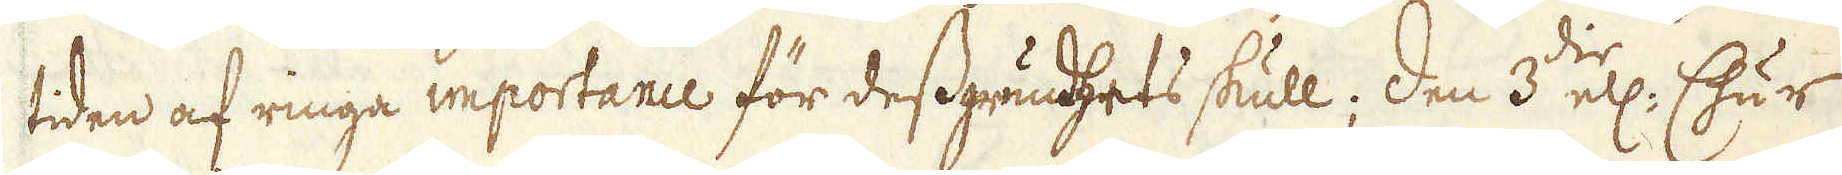tiden af ringa importance för dess grunhets skull; den 3:die ell. Chur
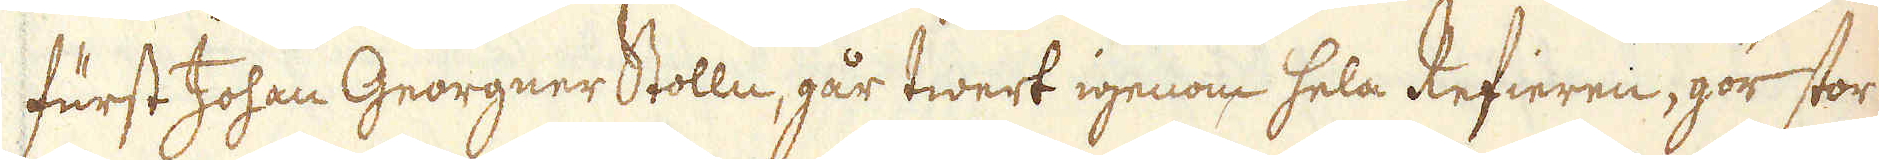furst Johan Georgner Stolln, går twert igenom hela Refieren, gör stor
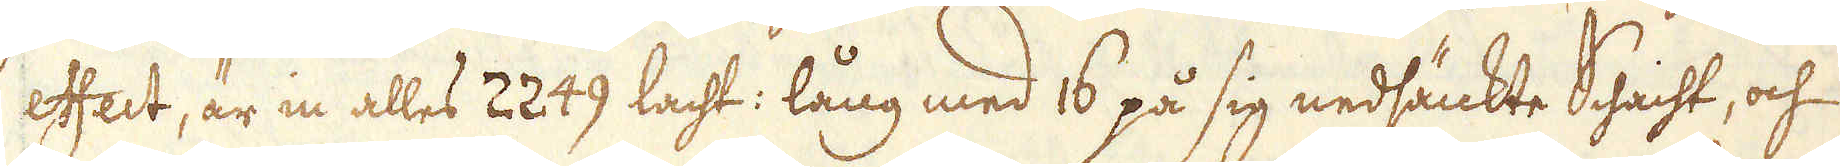effect, är in alles 2249 lacht: lång med 16 på sig nedsänkte Schacht, och
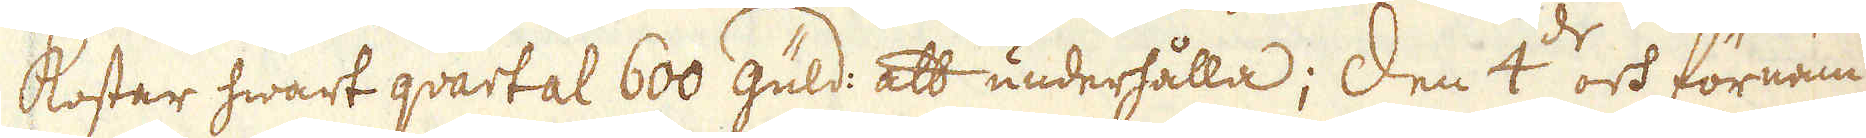kostar hwart quartal 600 guld: att underhålla; Den 4:de och förnäm-
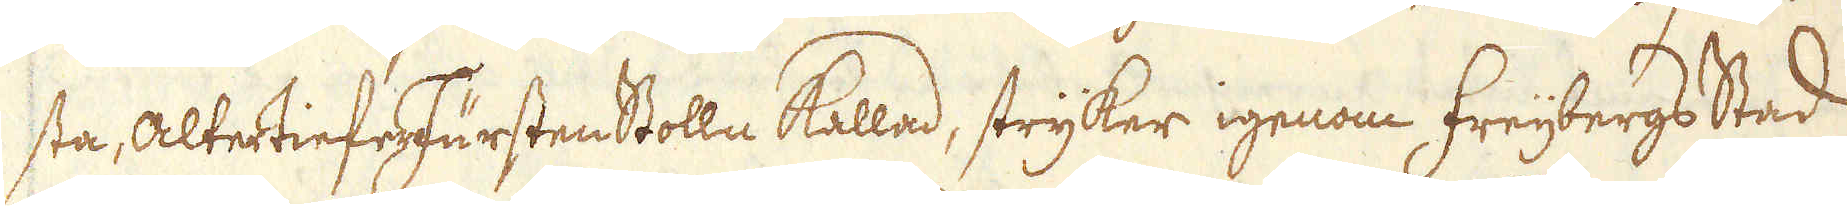sta, AltertieerFürsten Stolln kalad, stryker igenom Freijbergs Stad
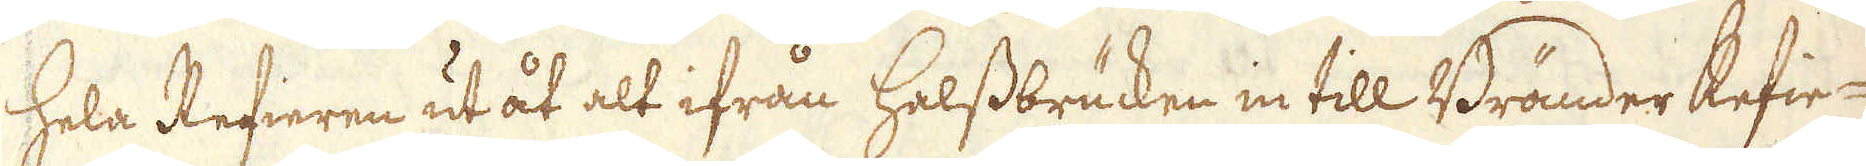hela Refieren ut åt alt ifrån helssbrücken in till Bränder Refie-
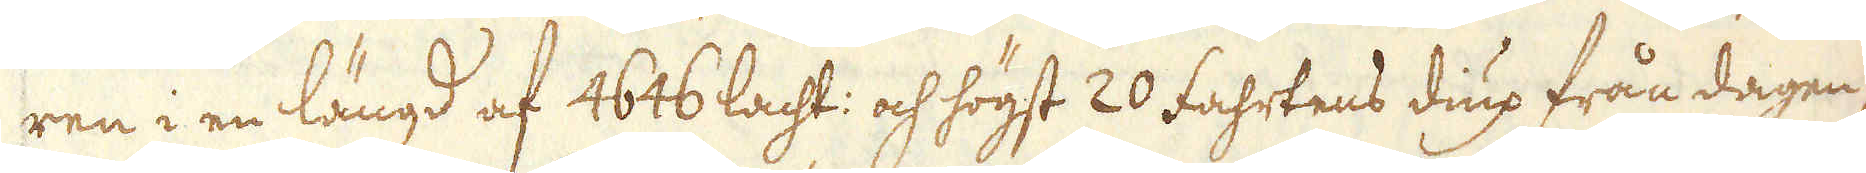ren i en längd af 4646 lacht: och högst 20 fahrtens diup från dagen,
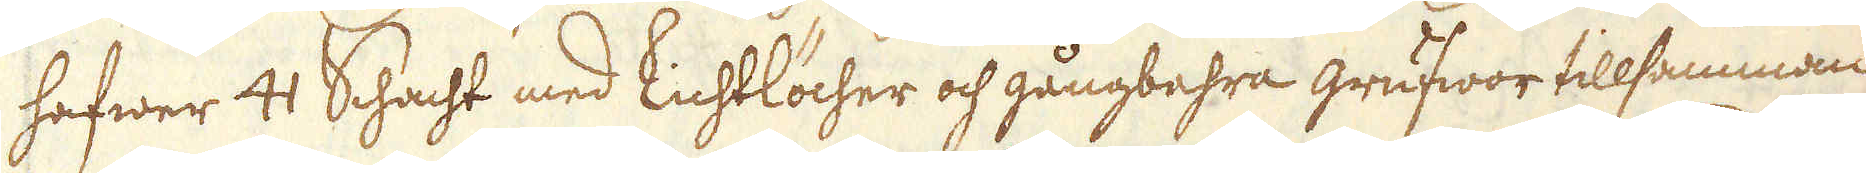hafwer 41 Schacht med lichtlöcher och gångbahra grufwor tillsamman,
